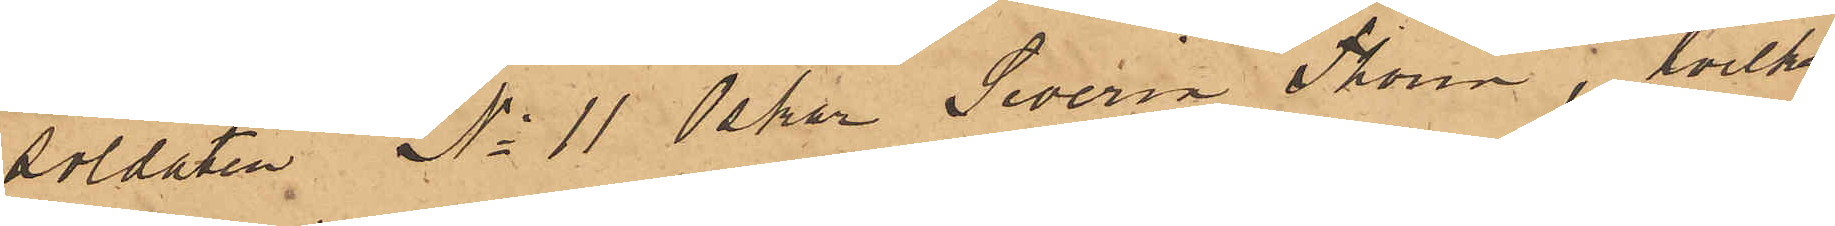soldaten No 11 Oskar Severin Thorin, hvilken
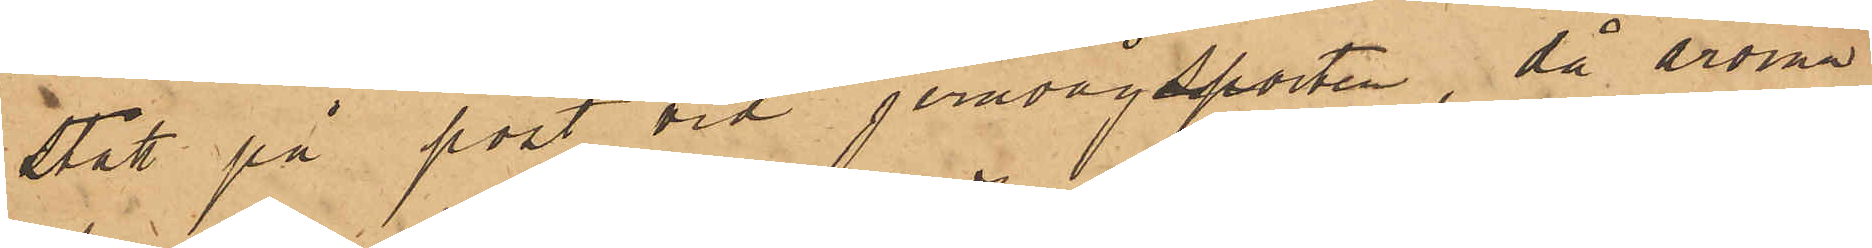stått på post vid jernvågsporten, då årorna
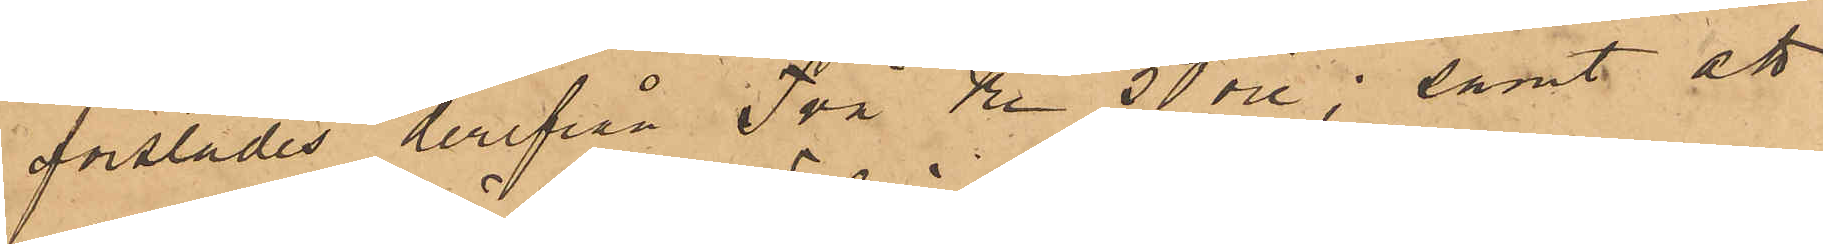forslades derifrån Två Kr 50 öre; samt att
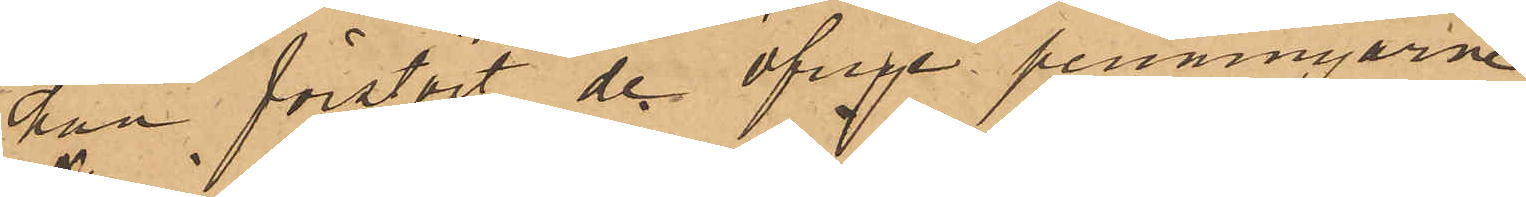han förstört de öfrige penningarne;
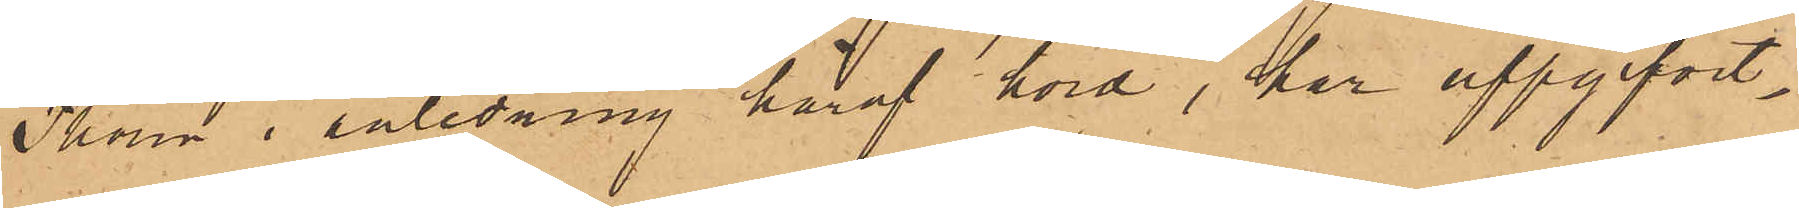Thorin i anledning häraf hörd, har uppgifvit,
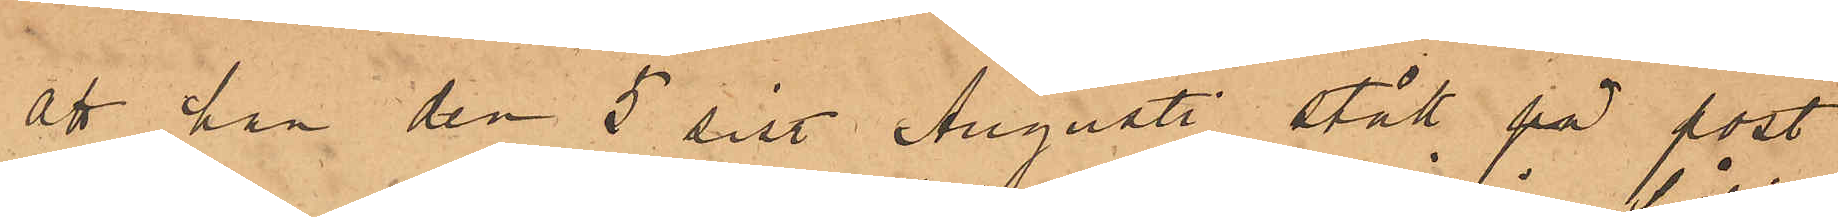att han den 5 sist. Augusti stått på post
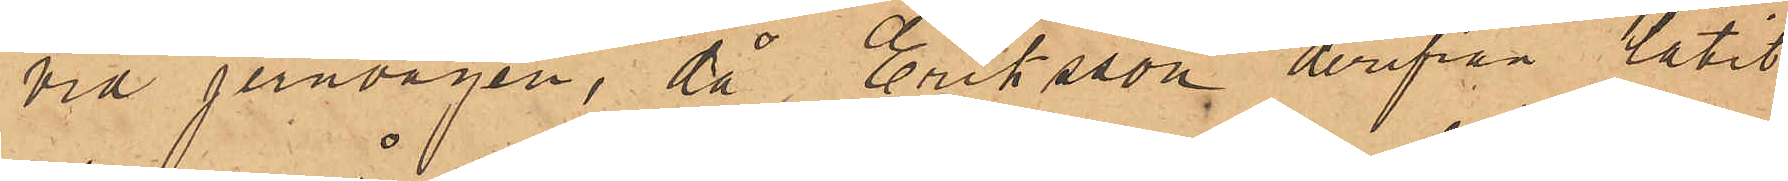vid jernvågen, då Eriksson derifrån låtit
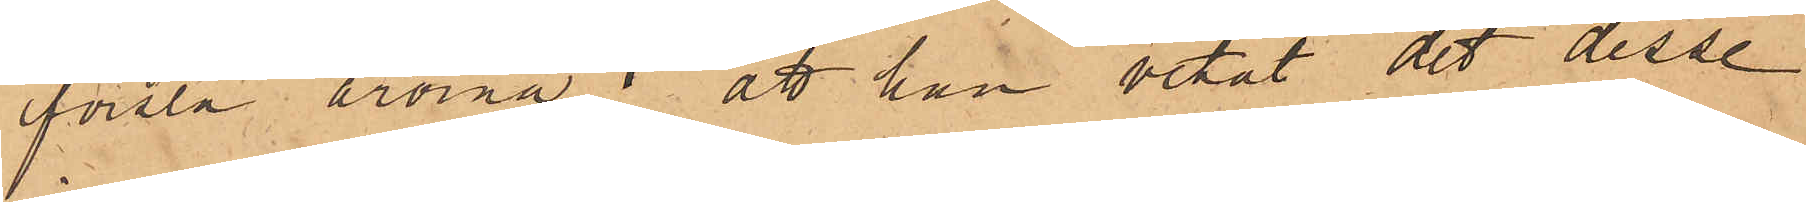forsla årorna; att han vetat det desse
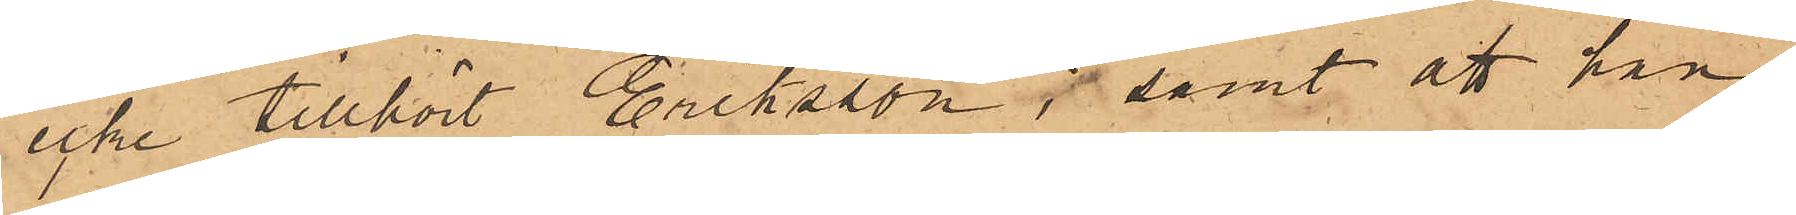icke tillhört Eriksson; samt att han
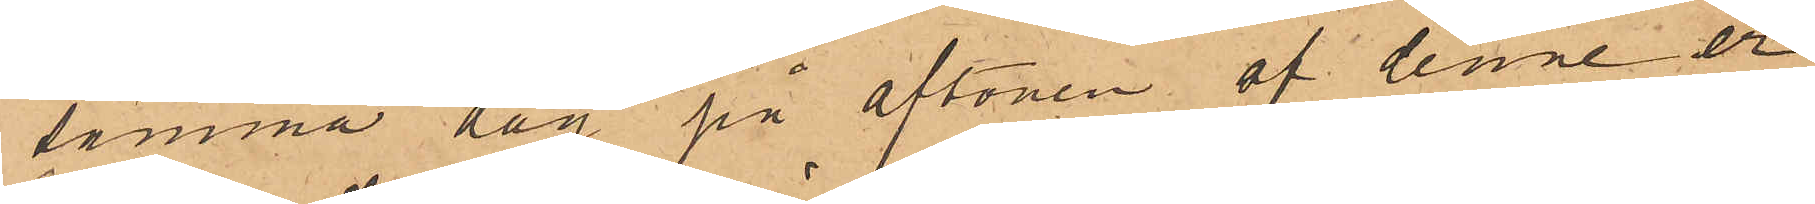samma dag på aftonen af denne er¬
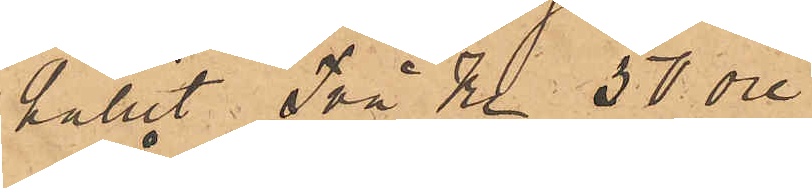hållit Två Kr 50 öre.
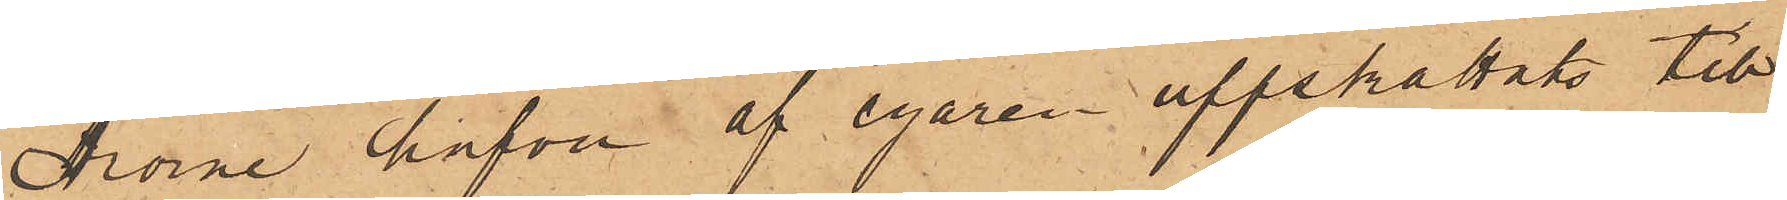Årorne hafva af egaren uppskattats till
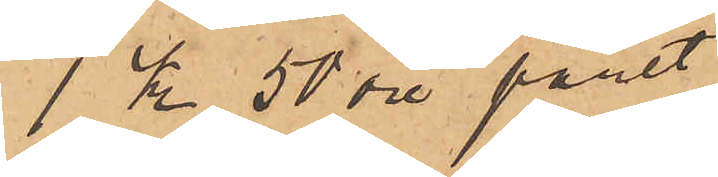1 Kr 50 öre paret.
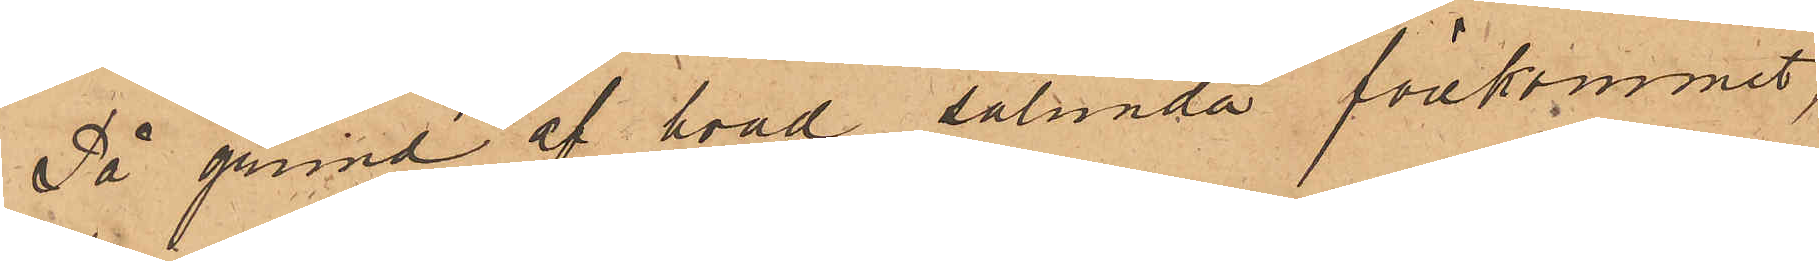På grund af hvad sålunda förekommit,
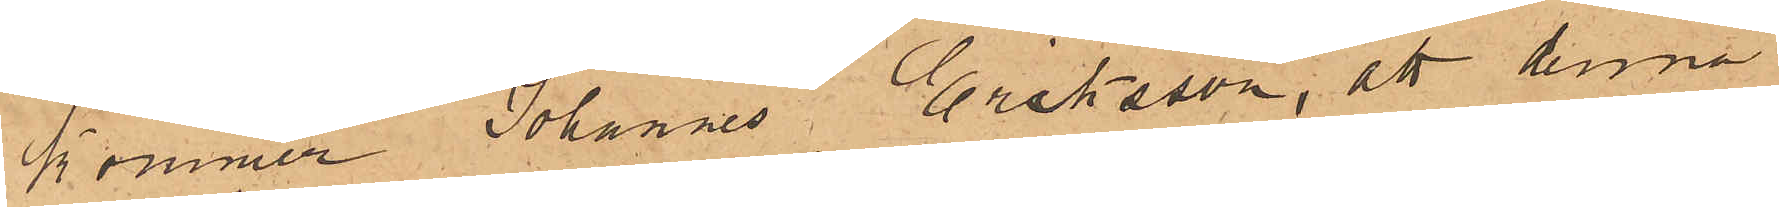kommer Johannes Eriksson, att denna
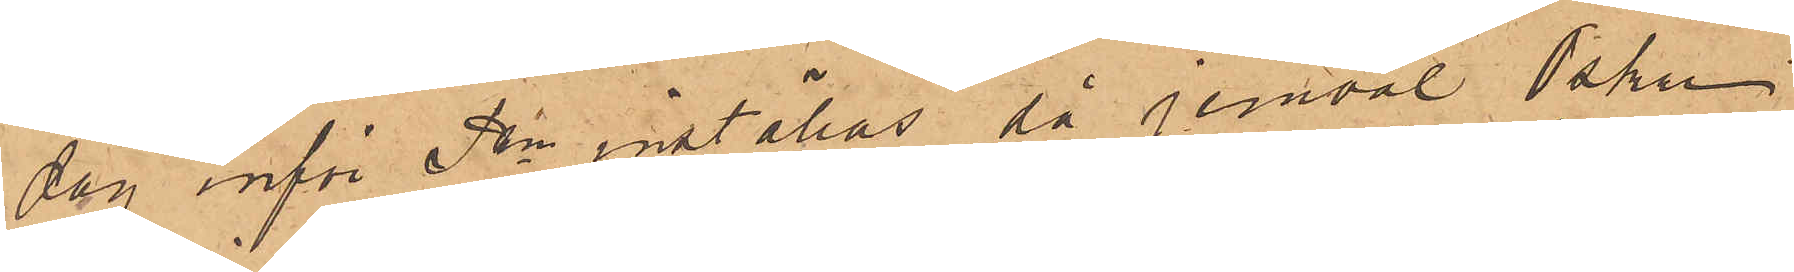dag inför Pkn  inställas, så jemväl Oskar
